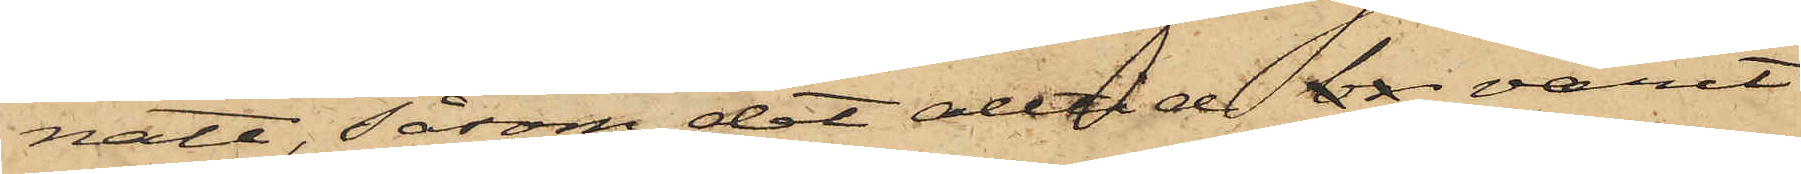natt, såsom det alltid br varit
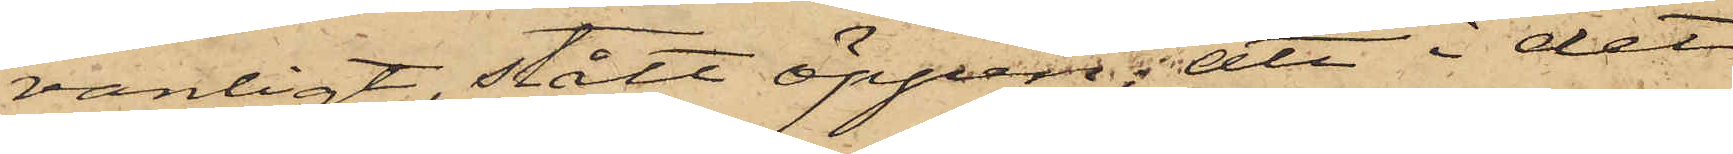vanligt, stått öppen; att i det
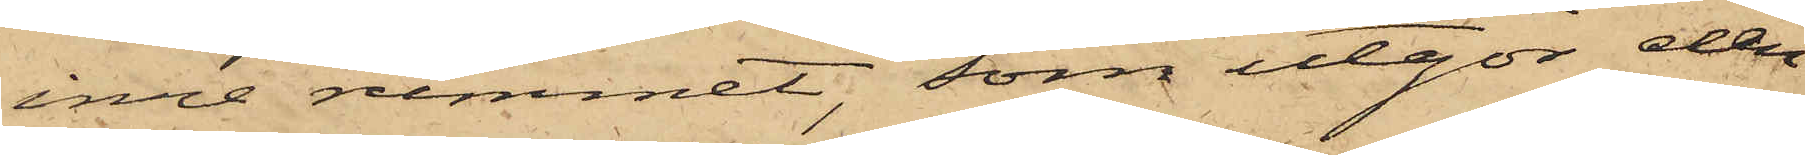inre rummet, som utgör den
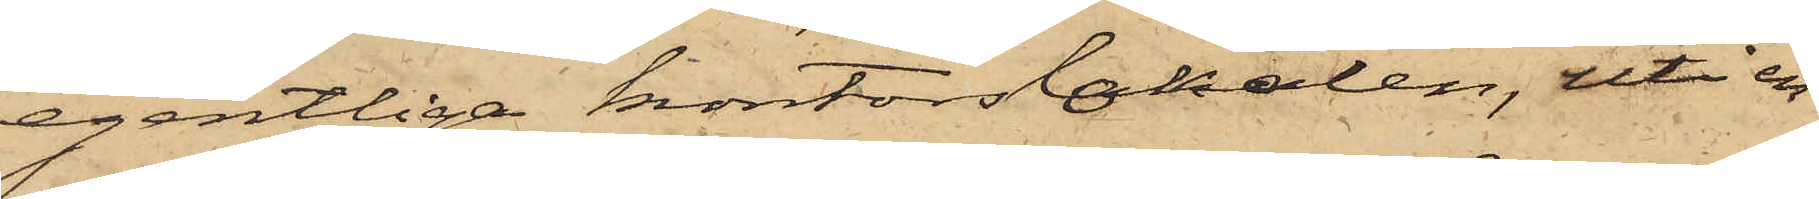egentliga kontorslokalen, uti en
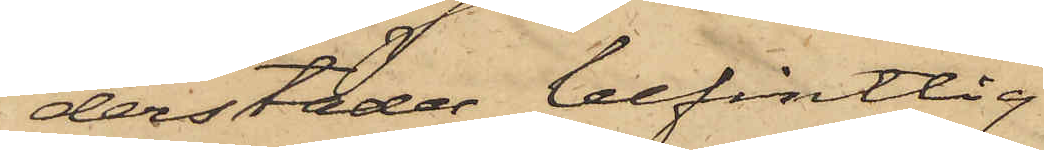derstädes befintlig
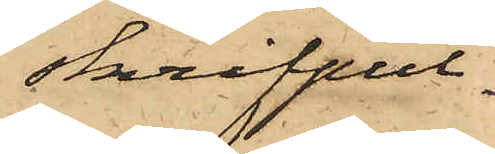skrifpul¬
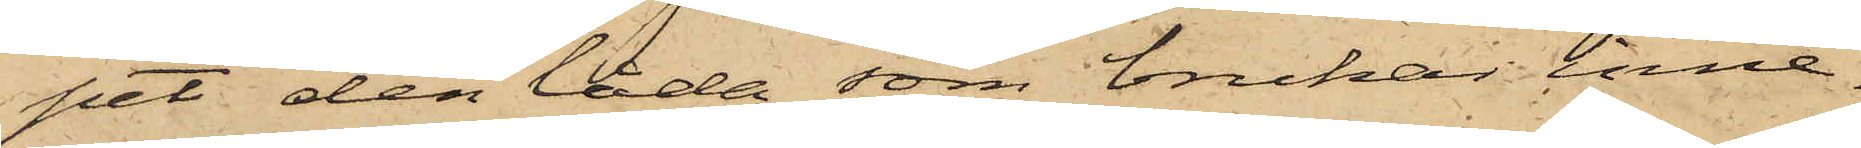pet den låda, som brukar inne¬
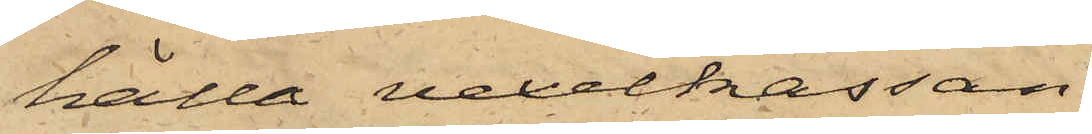hålla vexelkassan
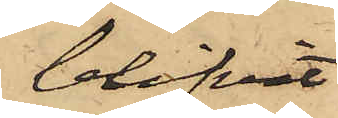blifvit
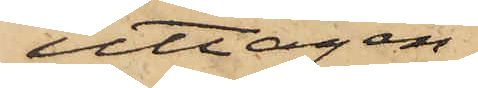uttagen
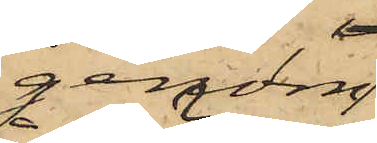genom
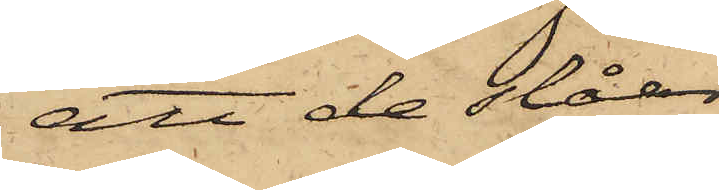att de slåar
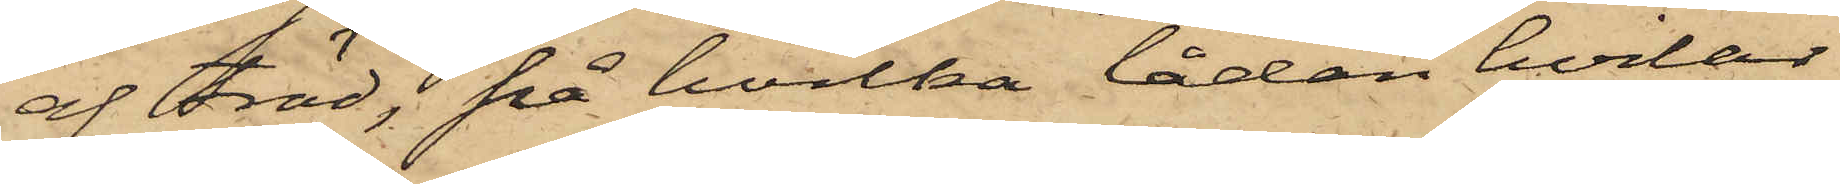af träd; på hvilka lådan hvilar
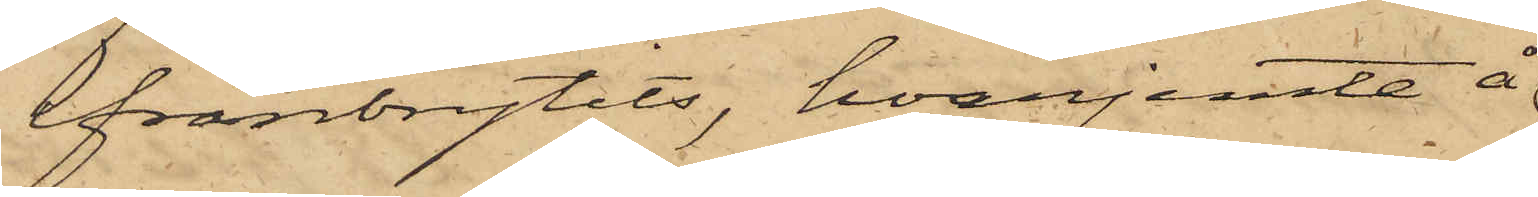ifrånbrytits, hvarjemte å
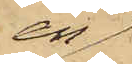en
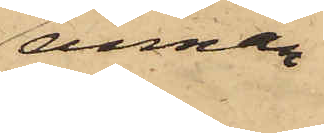annan
